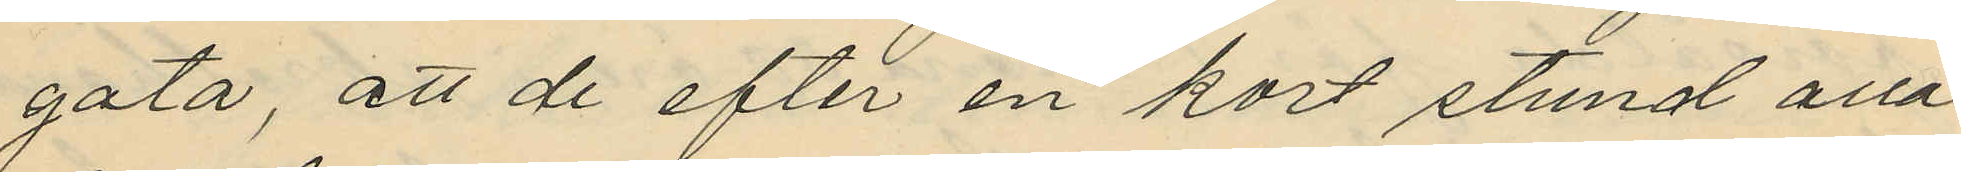gata, att de efter en kort stund alla
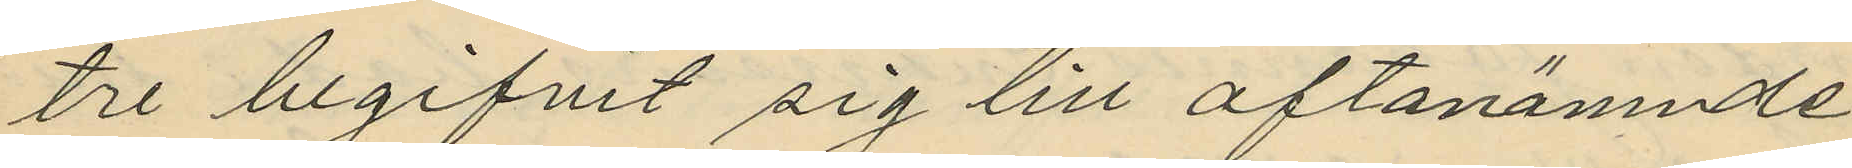tre begifvit sig till oftanämnde
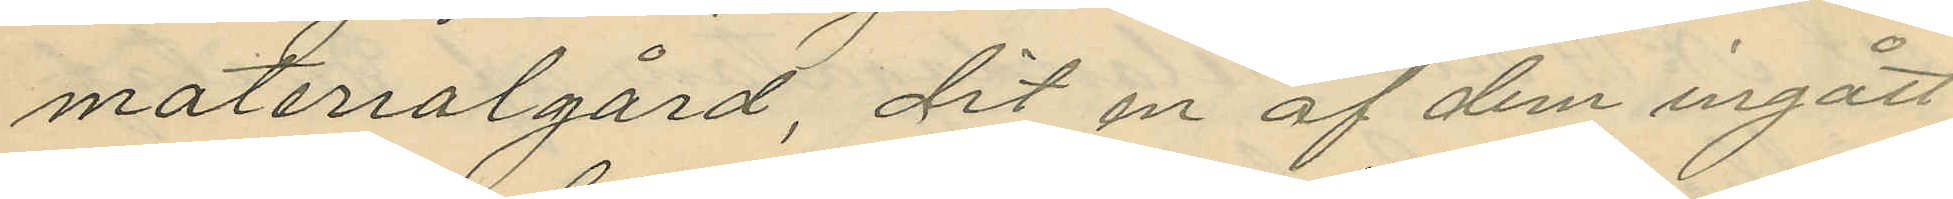materialgård dit en af dem ingått
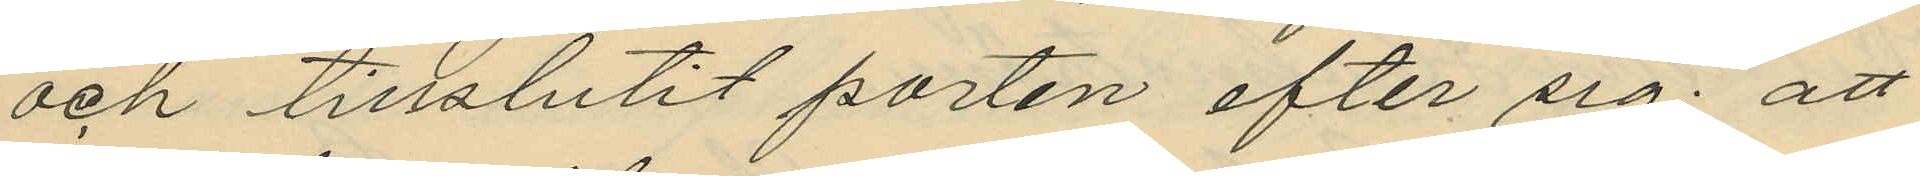och tillslutit porten efter sig; att
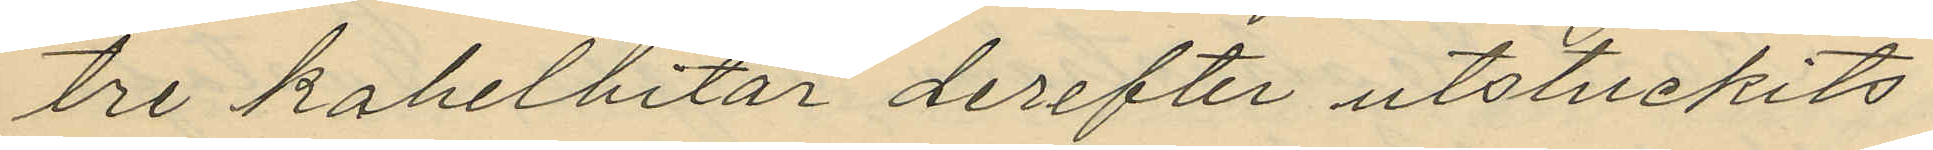tre kakelbitar derefter utstuckits
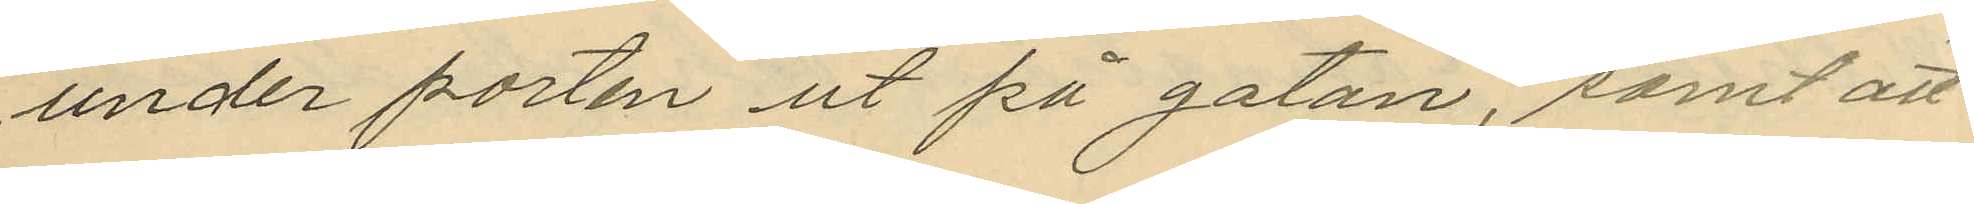under porten ut på gatan, samt att
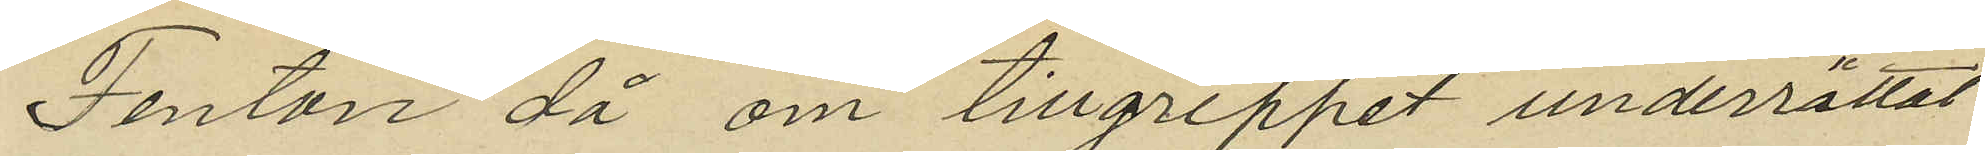Fenton då om tillgreppet underrättat
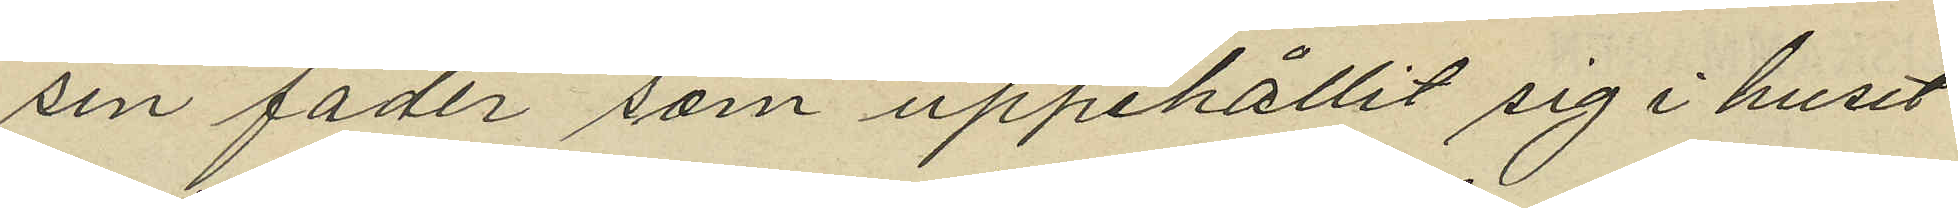sin fader som uppehållit sig i huset
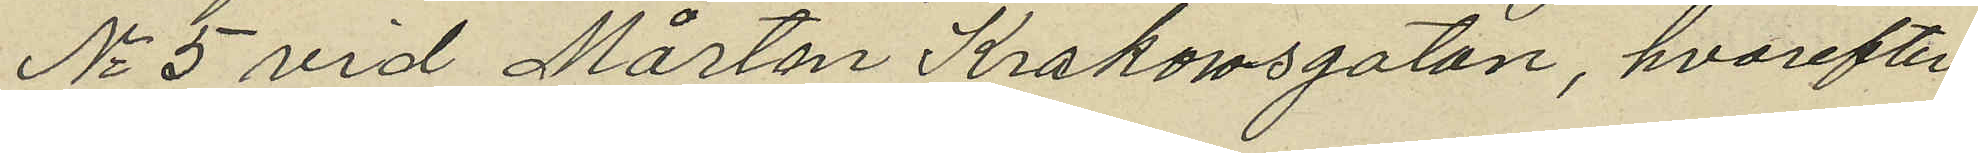No 5 vid Mårten Krakowsgatan, hvarefter
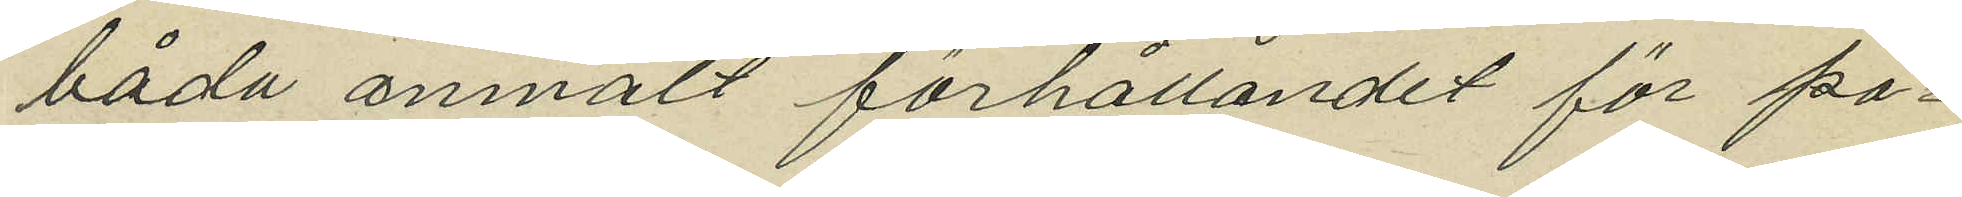båda anmält förhållandet för po¬
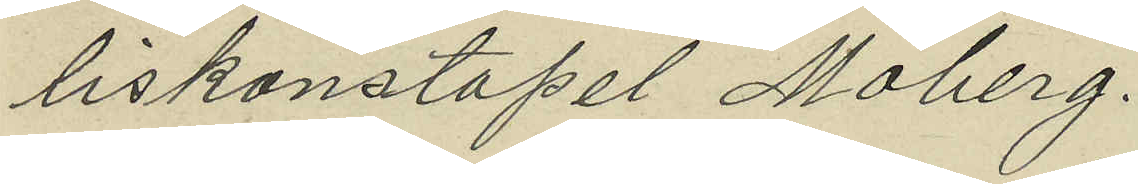liskonstapel Moberg.
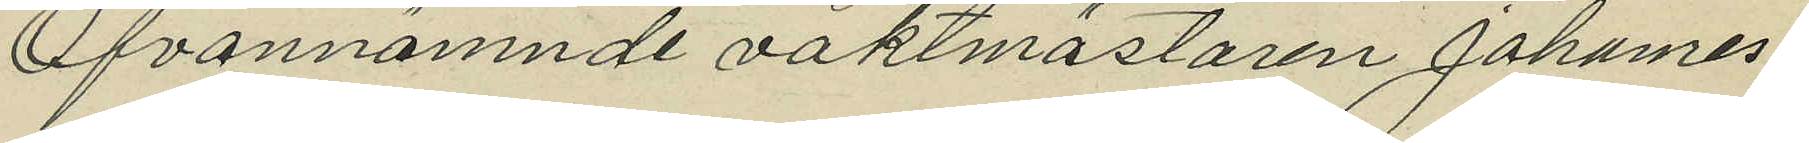Ofvannämnde vaktmästaren Johannes
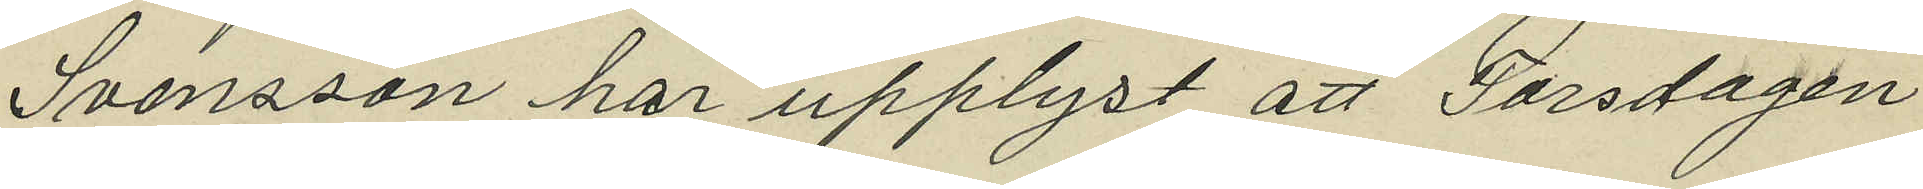Svensson har upplyst att Torsdagen
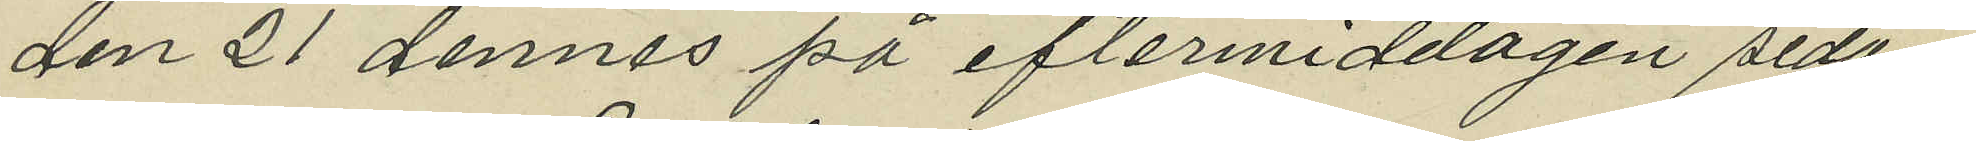den 21 dennes på eftermiddagen sedan
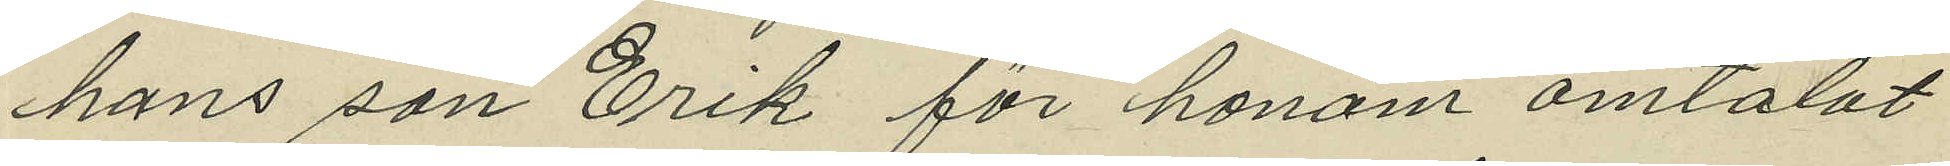hans son Erik för honom omtalat
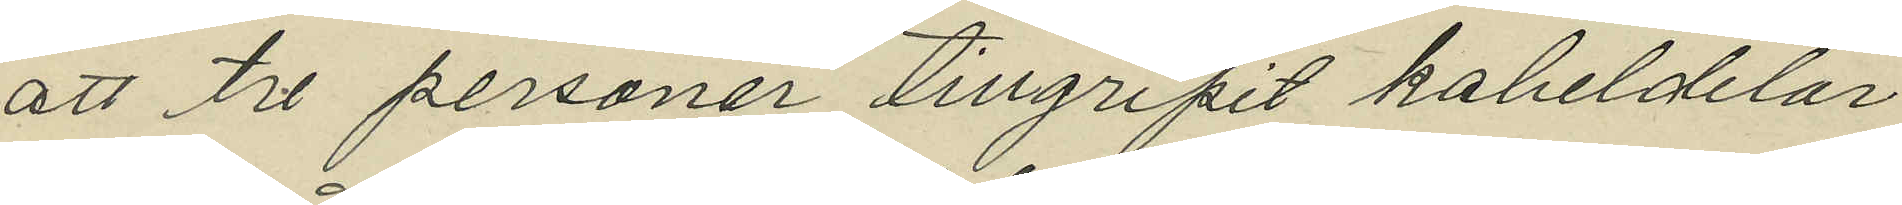att tre personer tillgripit kakeldelar
